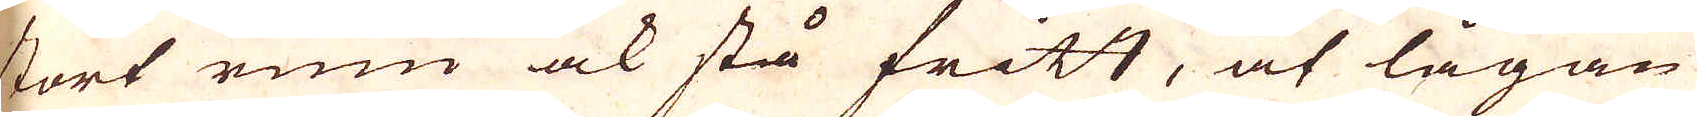stort rum ock stå fritt, at lågan
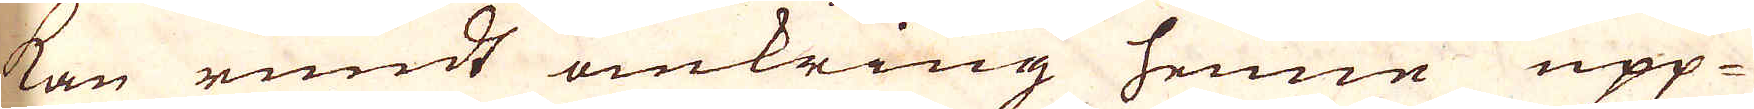kan rundt omkring henne upp-
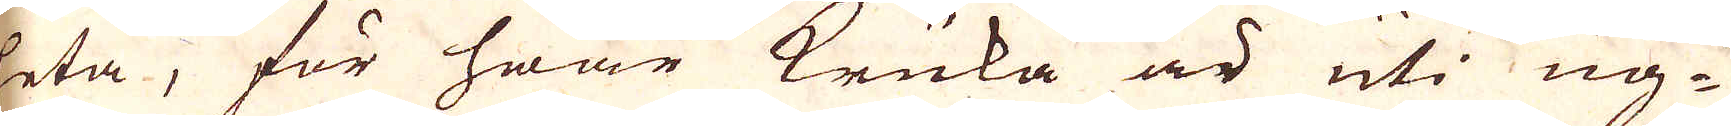leta, för hwar kruka är uti ug-
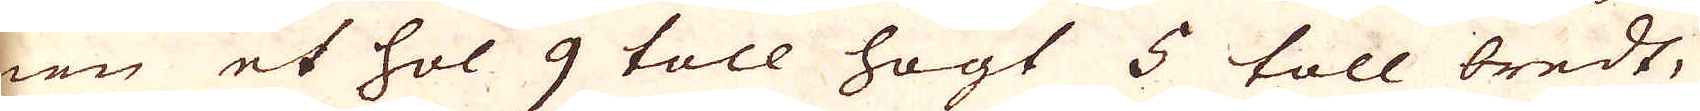nen et hol 9 toll högt 5 toll bredt,
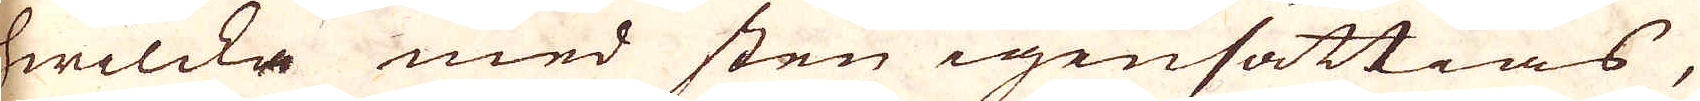hwilcke med sten igensättias,
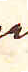rätl
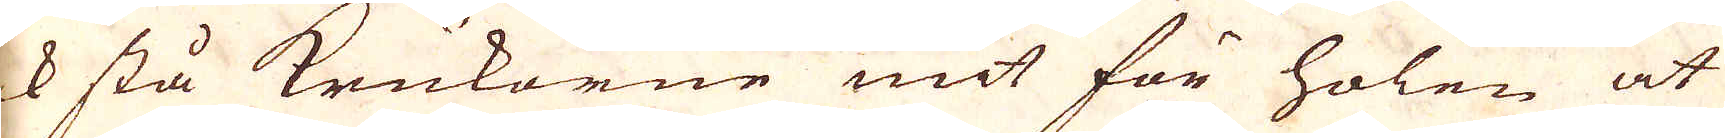ock stå krukorne mit för holen at
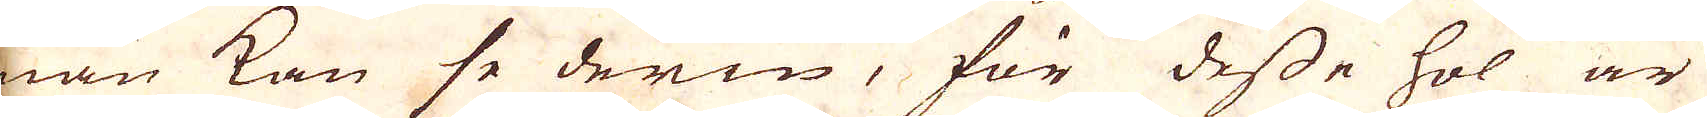man kan se derin, för desse hol är
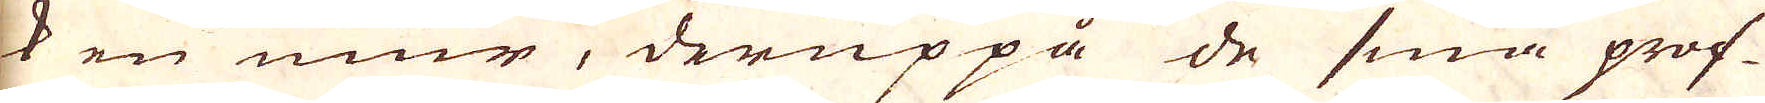ok en mur, deruppå de små prof-
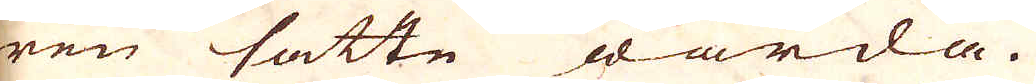wen satte warda.
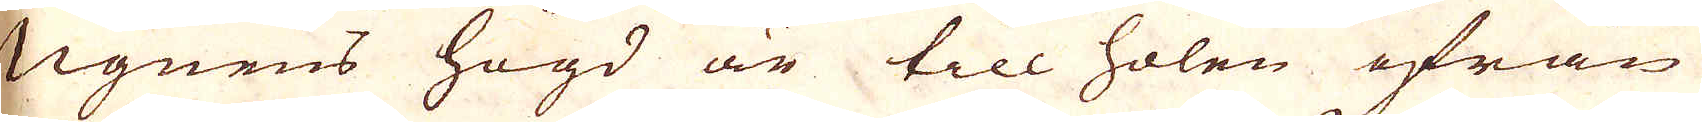Ugnens högd är till holen ifrån
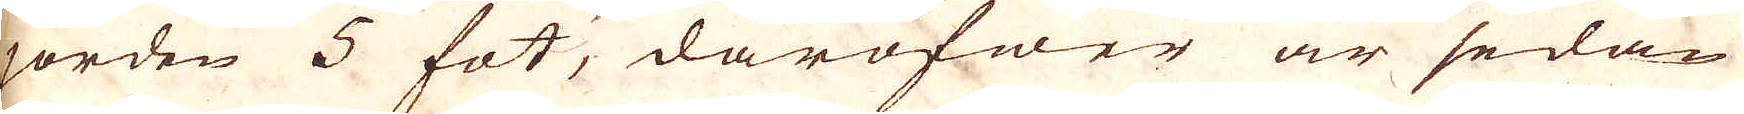jorden 5 fot, daröfwer är sedan
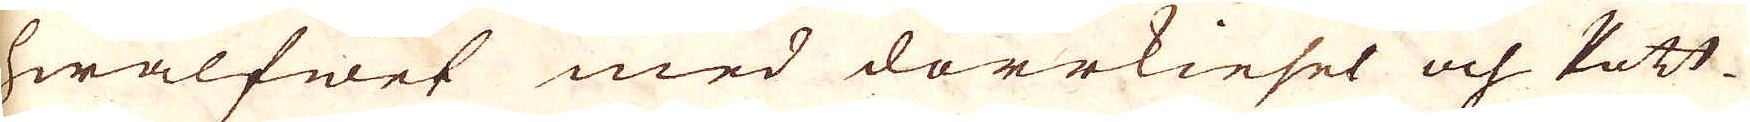hwalfwet med dorrkiesel och Pott-
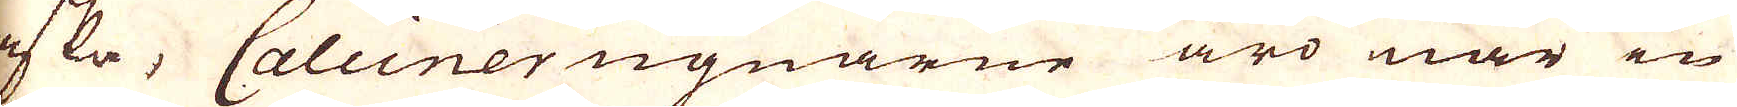aska, Calcinerugnarne äro när in
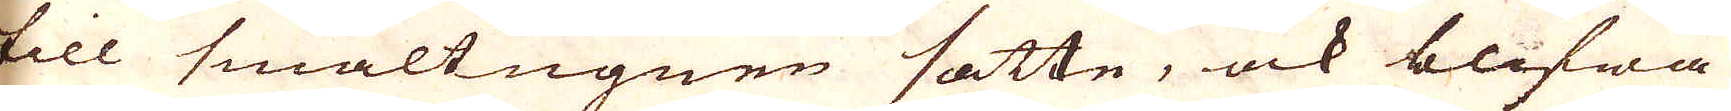till smältugnen sätte, ock blifwa
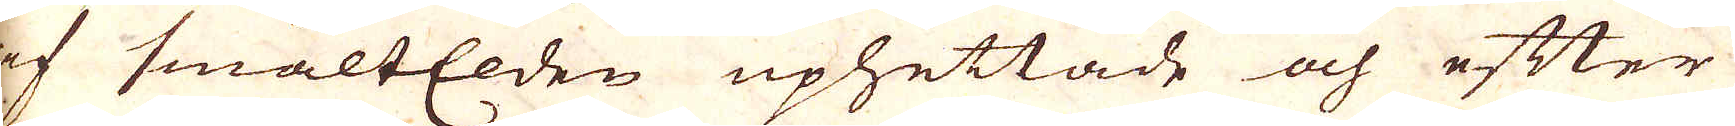af smältElden uphettade och efter
